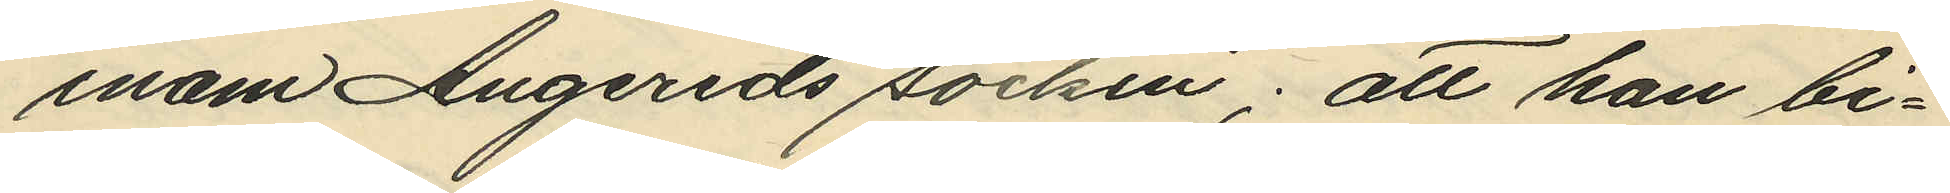inom Angereds socken; att han bi¬
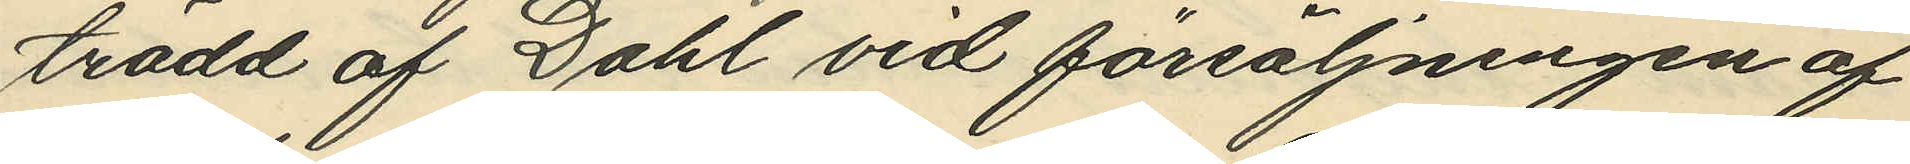trädd af Dahl vid försäljningen af
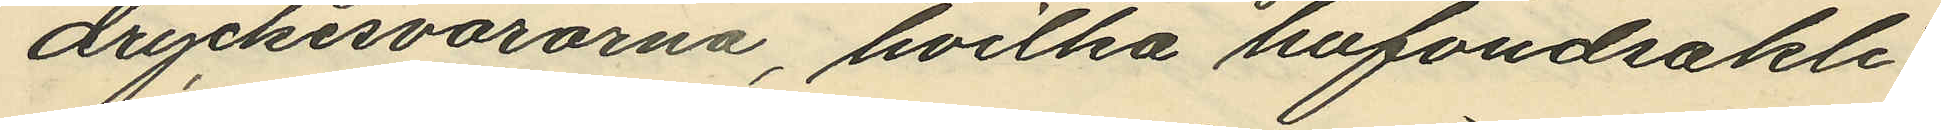dryckesvarorna, hvilka hufvudsakli¬
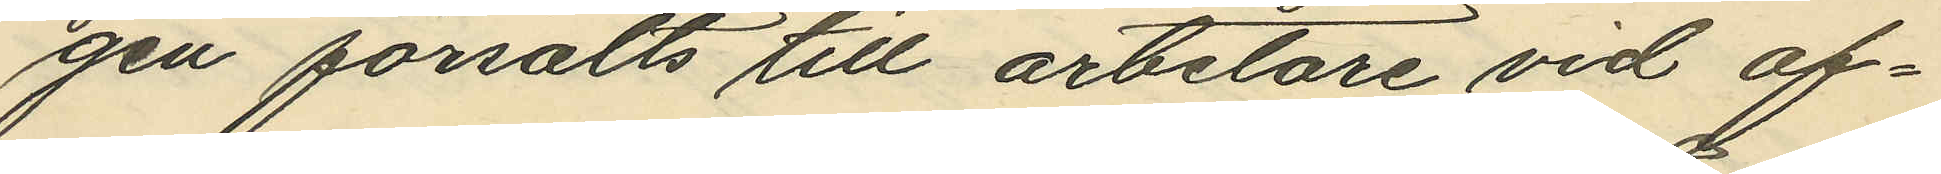gen försålts till arbetare vid of¬
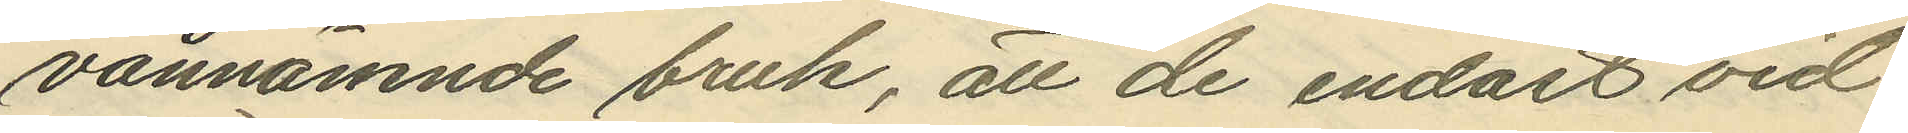vannämnde bruk, att de endast vid
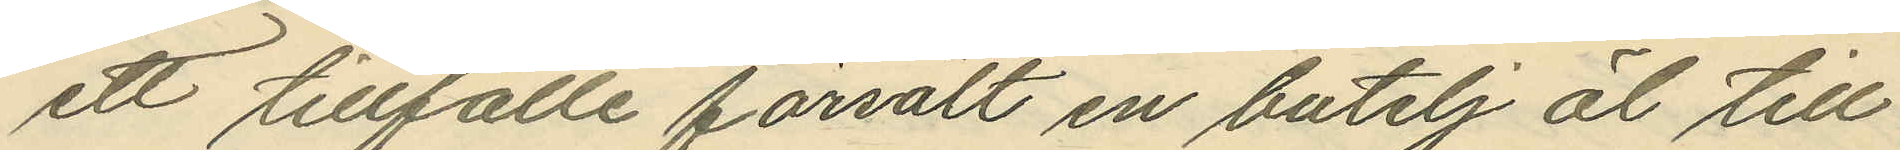ett tillfälle försålt en butelj öl till
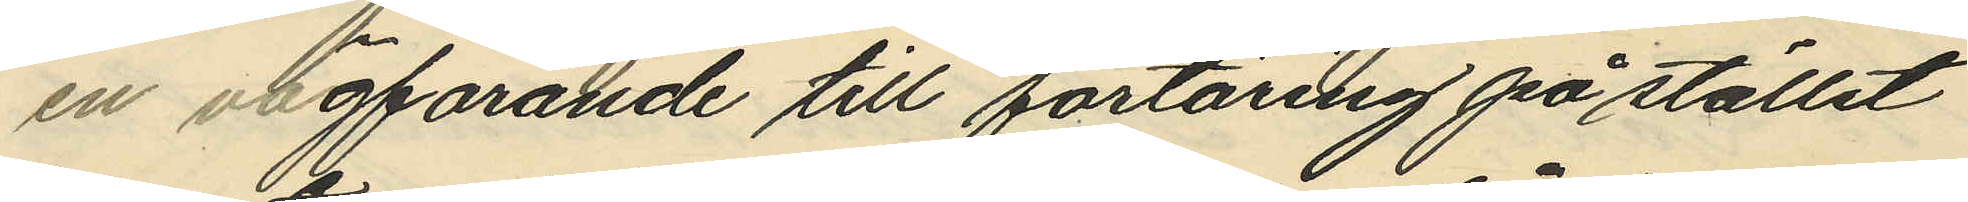en vägfarande till förtäring på stället
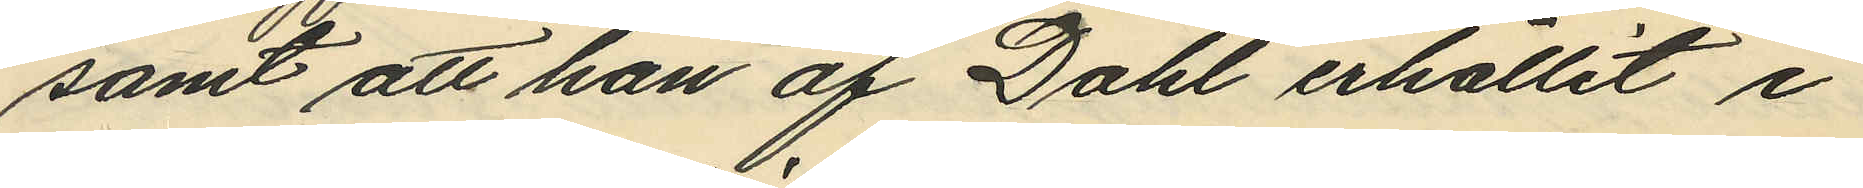samt att han af Dahl erhållit i
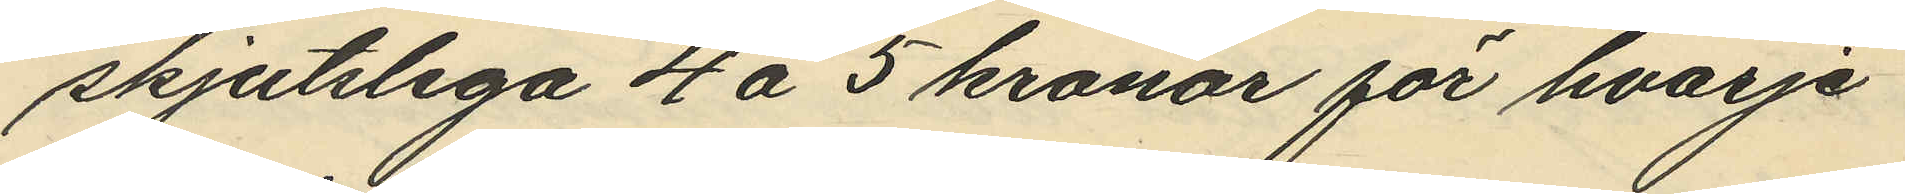skjutslega 4 á 5 kronor för hvarje
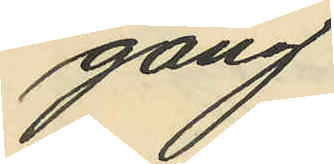gång.
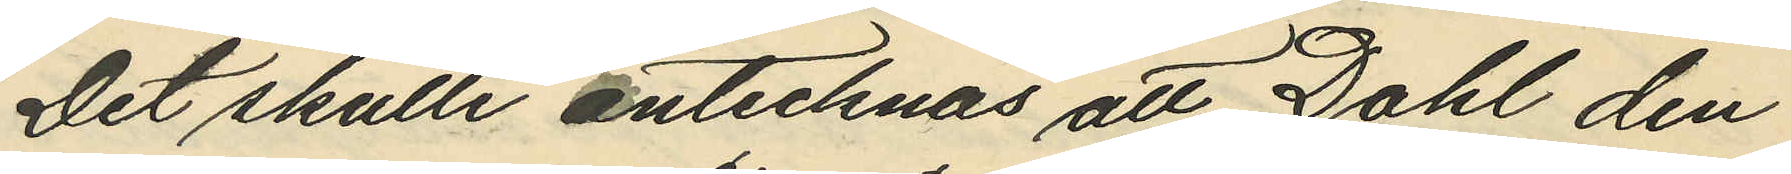Det skulle antecknas att Dahl den
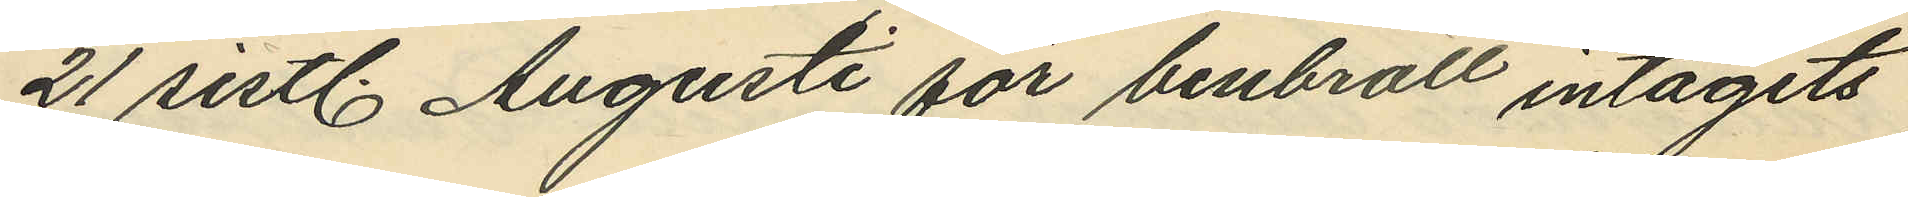21 sistl. Augusti för benbrott intagits
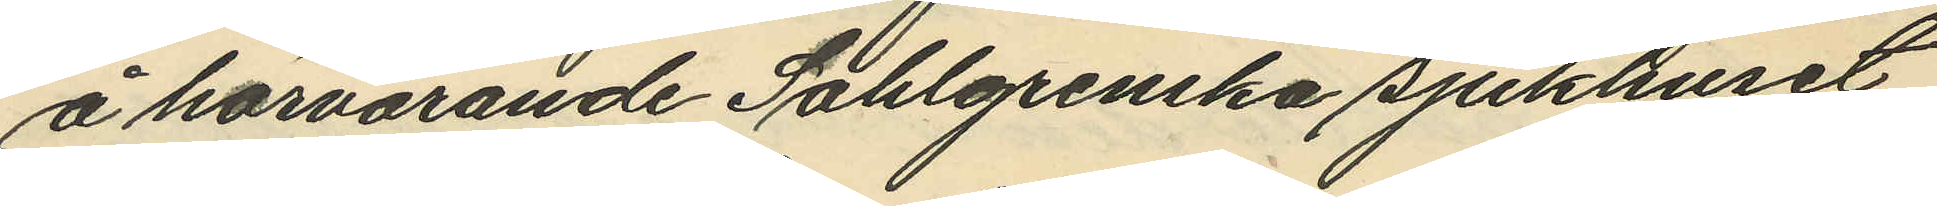å härvarande Sahlgrenska sjukhuset
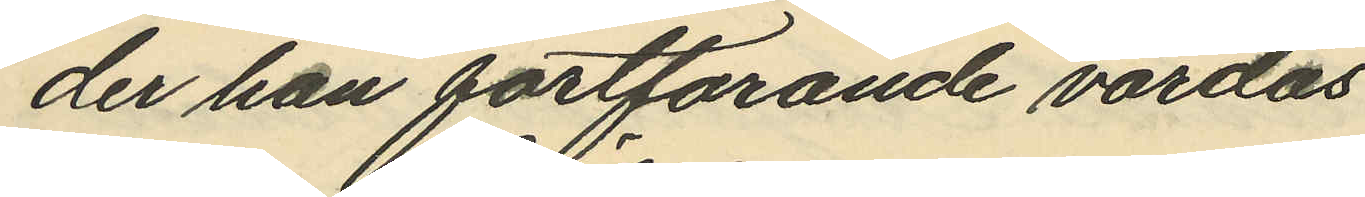der han fortfarande vårdas.
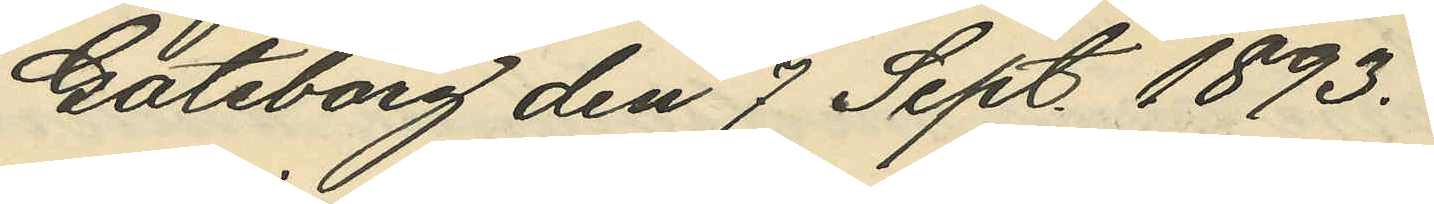Göteborg den 7 Sept. 1893.
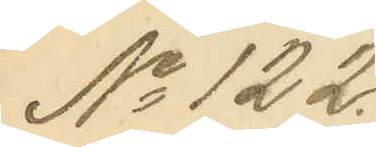No 122.
